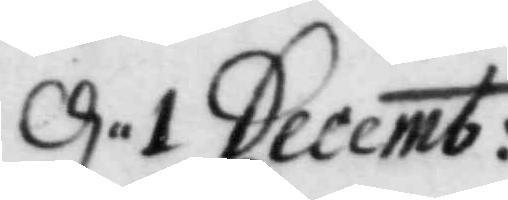d. 1 Decemb:
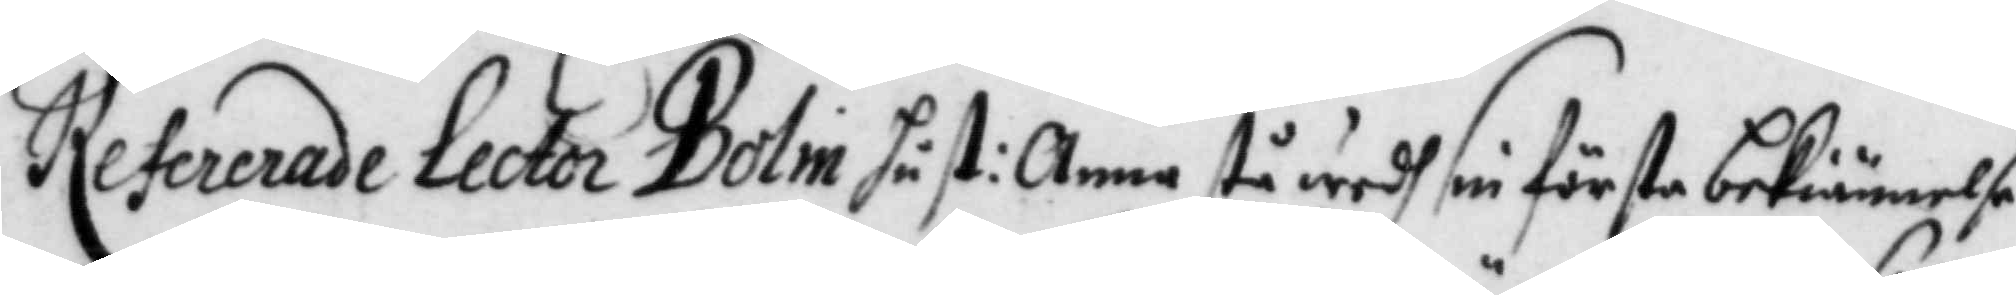Refererade Lector Bolin hust: Anna stå wedh sin förste bekiännelse
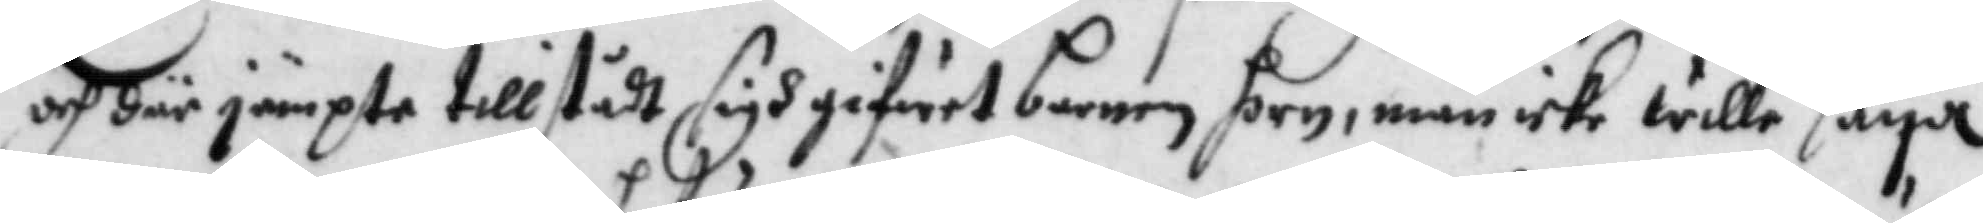och där jämpte tillstådt sigh gifwit barnen horn, män icke wille säya
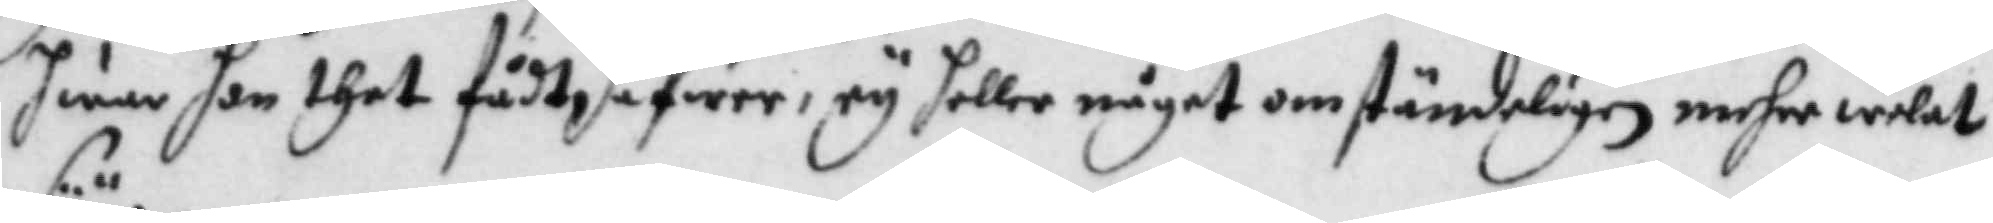hwem hon thet fådt hafwer, ey heller något omständeligen mehre welat
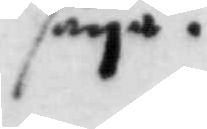säya.
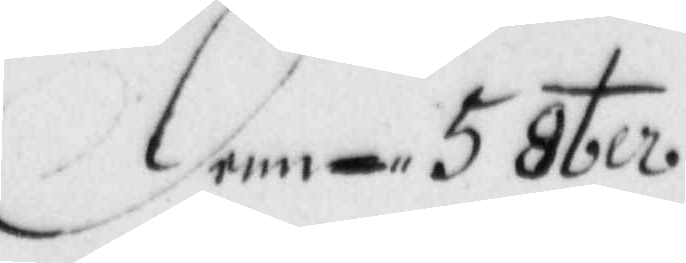denn 5 8ber
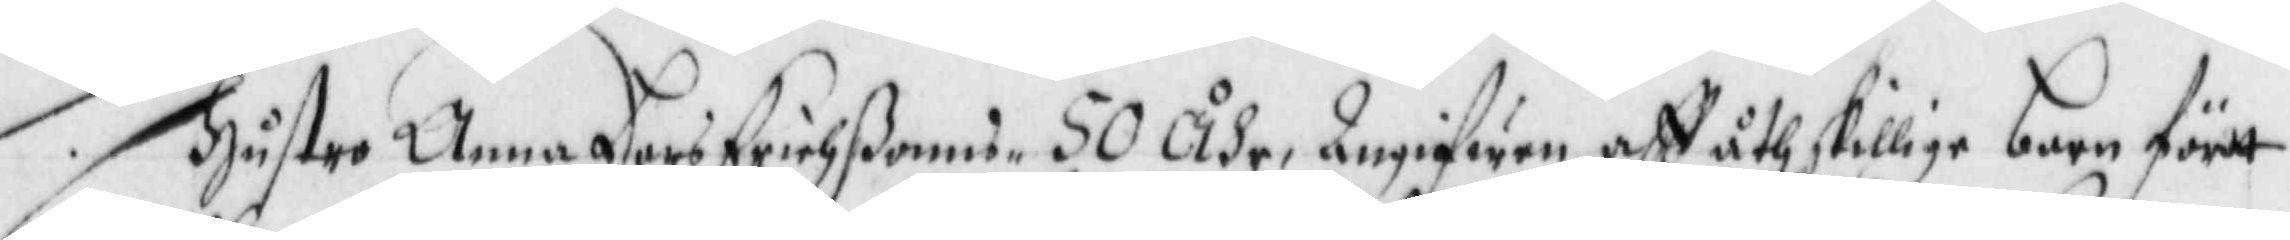Hustro Anna Lars Erichßonns 50 åhr, Angifwen aff åthskillige barn fört
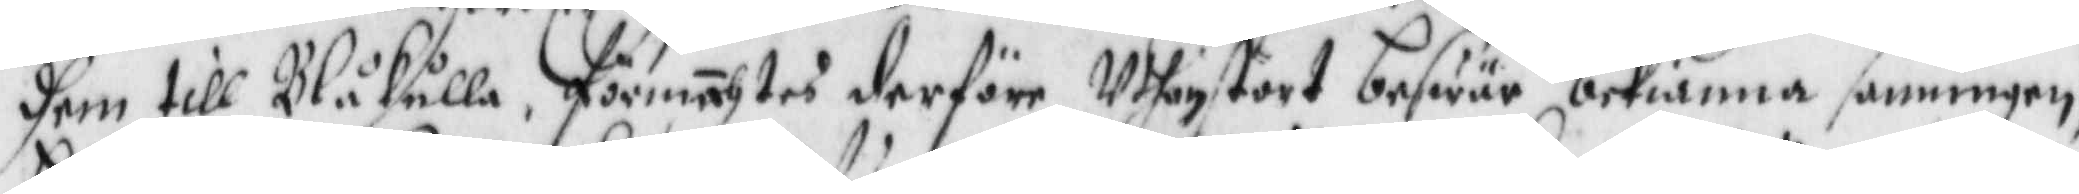dhem till Blåkulla förmächtes derföre Uthan stort beswär bekiänna sanningen,
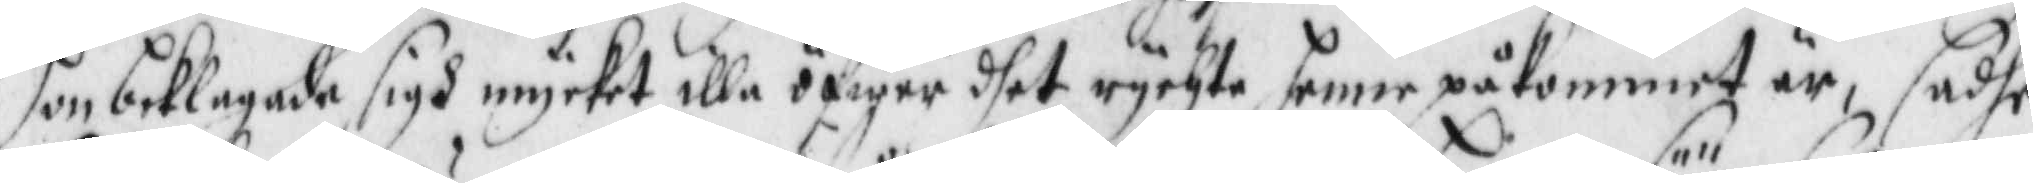hon beklagade sigh mycket illa öfwer dhet rychte henne påkommet är, sadhe
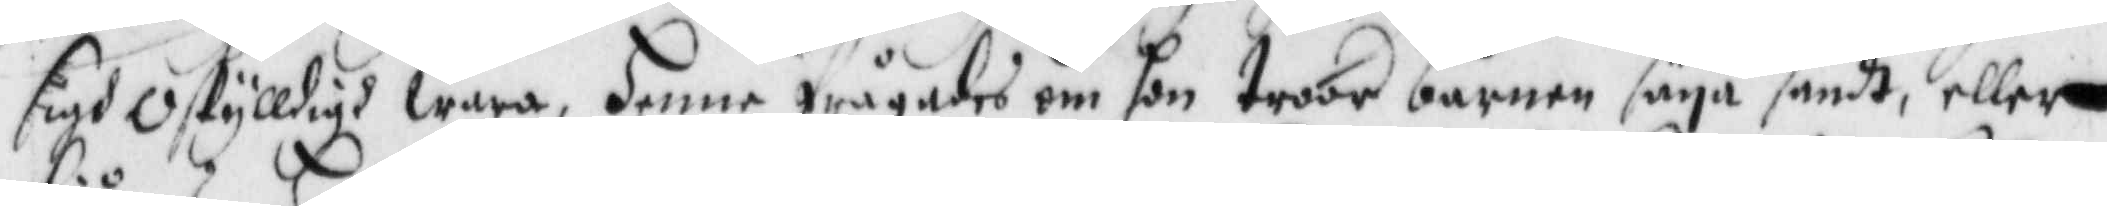sigh oskylldigh wara, henne frågades om hon troor barnen säya sandt, eller
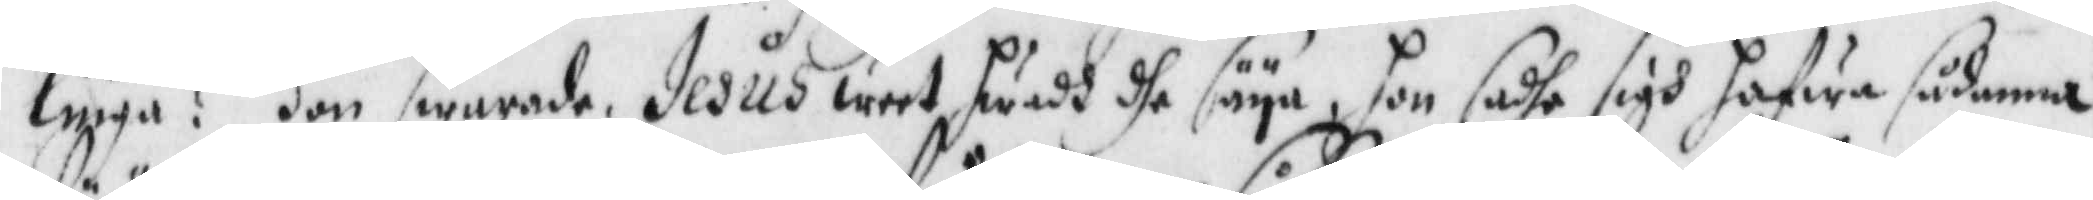liuga? Hon swarade Jesus weet hwadh de säya, hon sadhe sigh hafwa sådanna
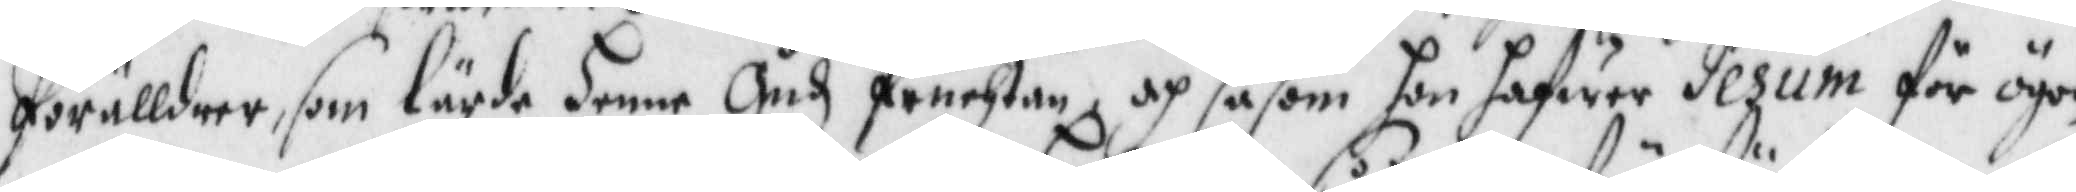förälldrar, som lärde henne Gudz fruchtan och såsom hon hafwer Jesum för ögon
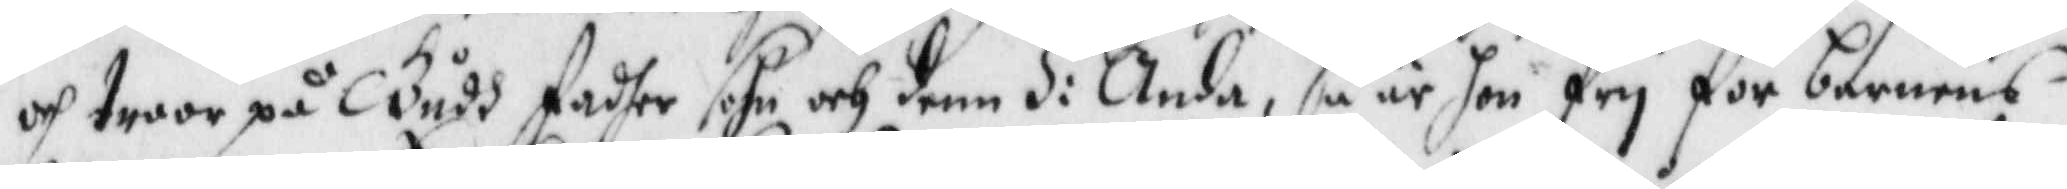och troor på Gudh fadher sohn och denn H: Anda, så är hon fry för barnens
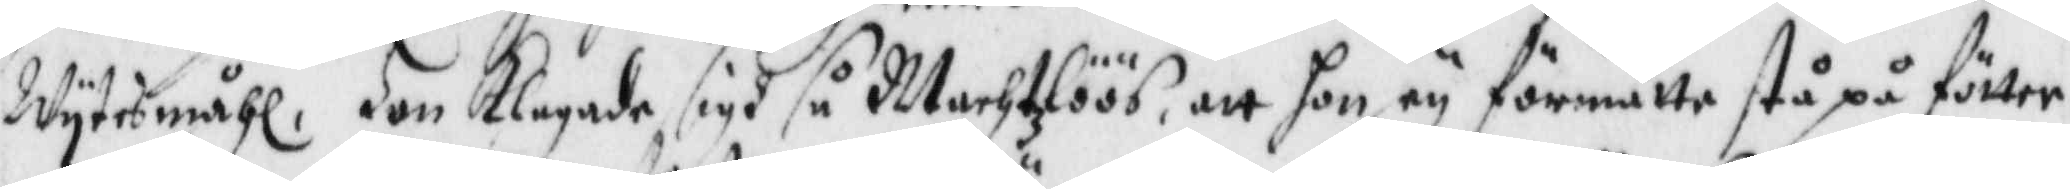Wuytesmåhl, Hon Klagade sigh så Machtlöös, att hon ey förmåtte stå på fötter¬
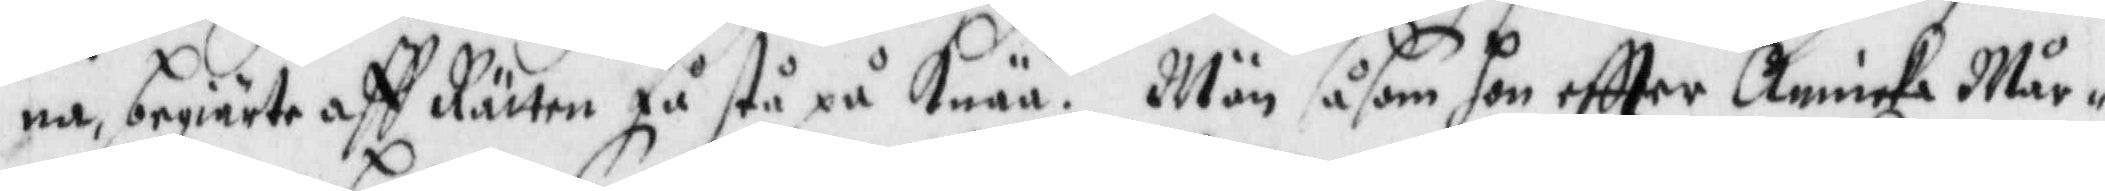na, begiärte aff Rätten få stå på Knää, Män såsom hon eftter Annika Mår¬
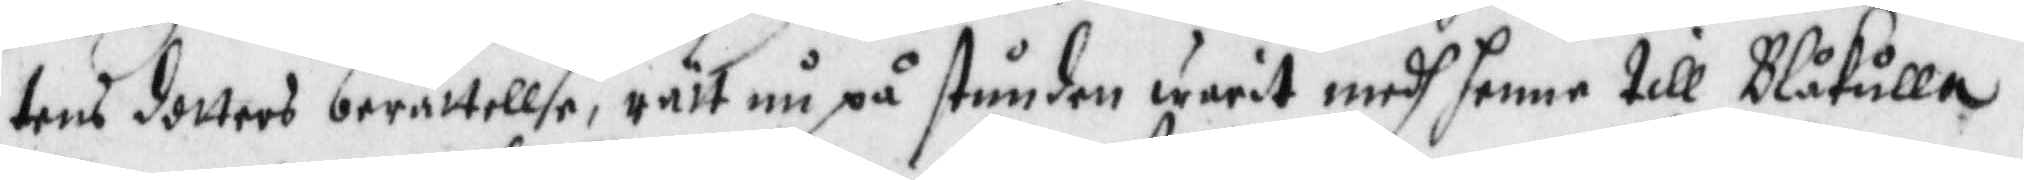tens dotters berättellse, rätt nu på stunden warit medh henne till Blåkulla,
